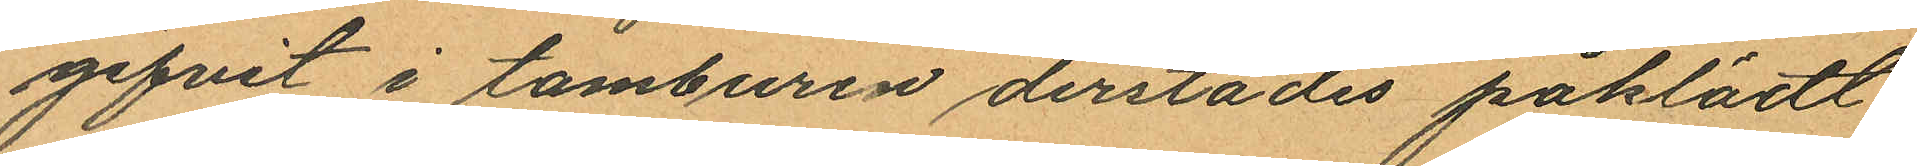gifvit i tamburen derstädes påklädt
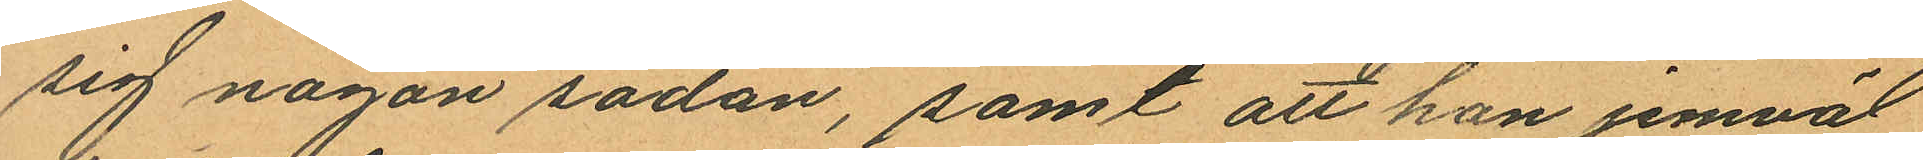sig någon sadan, samt att han jemväl
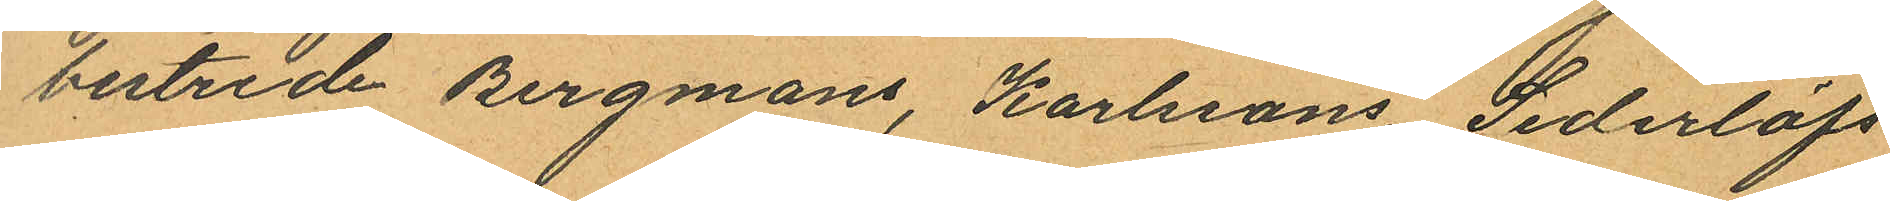bestrede Bergmans, Karlssons, Sederlöfs
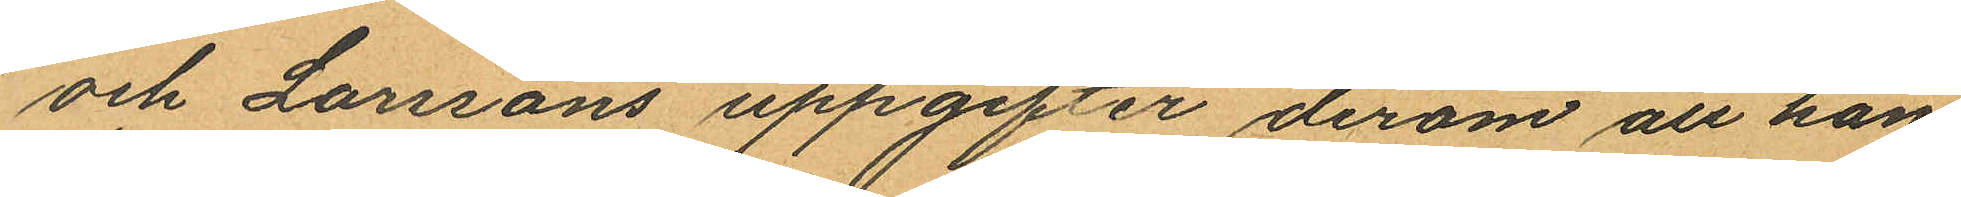och Larssons uppgifter derom att han
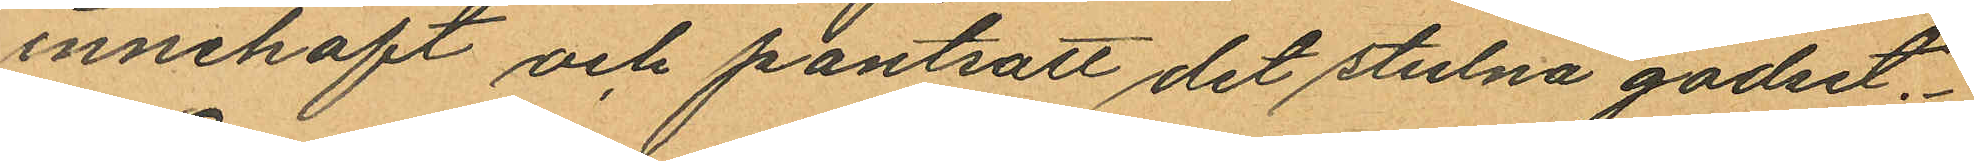innehaft och pantsatt det stulna godset.
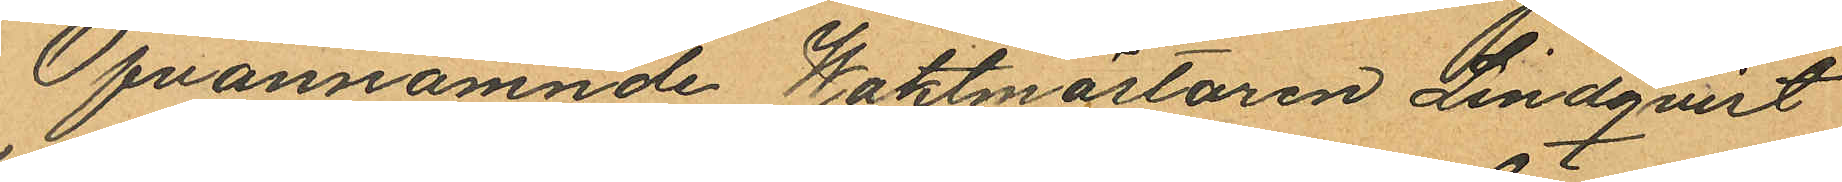Ofvannämnde Waktmästaren Lindqvist
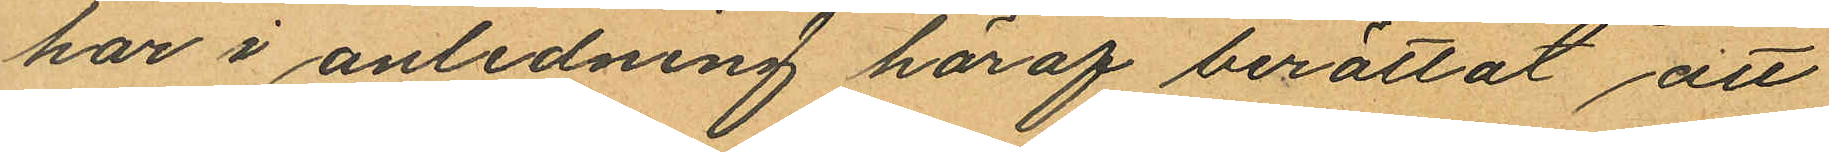har i anledning häraf berättat att
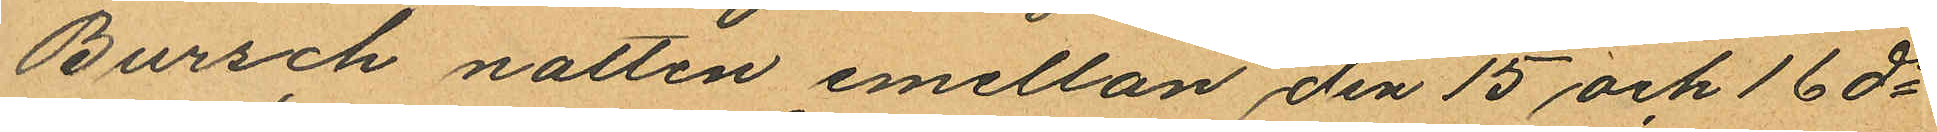Bursch natten emellan den 15 och 16 ds
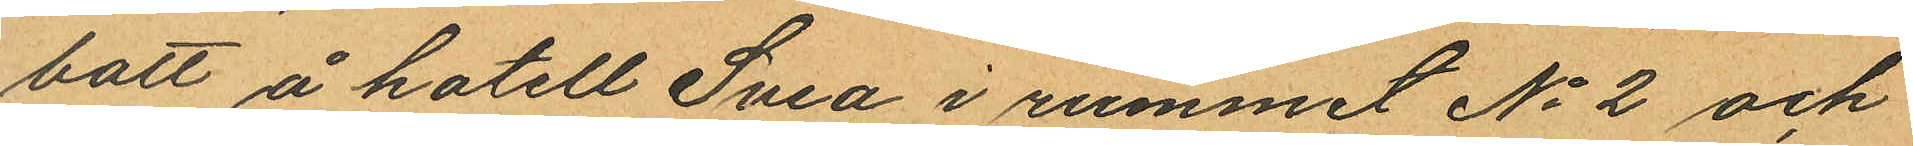bott å hotell Svea i rummet No 2 och
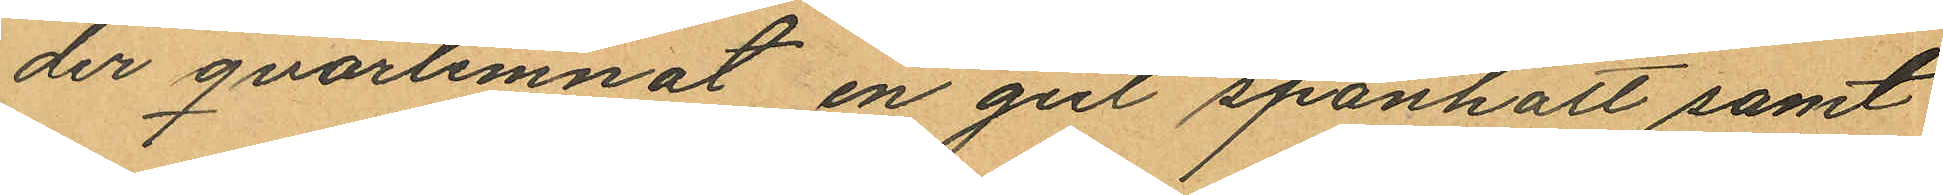der qvarlemnat en gul spånhatt samt
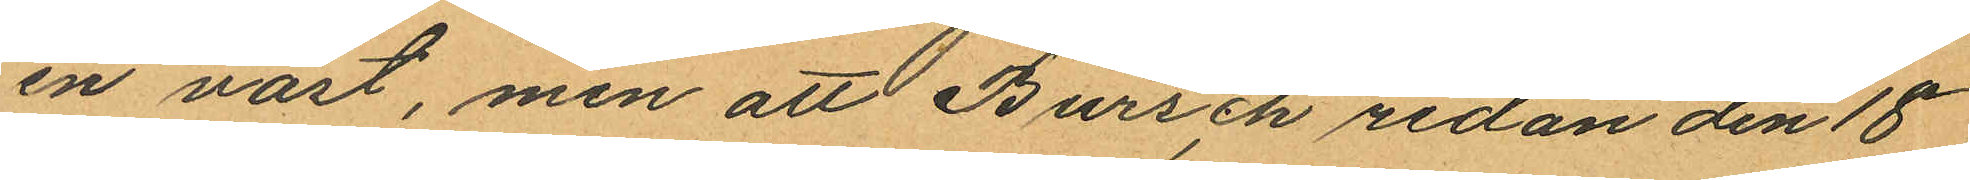en väst, men att Bursch redan den 18
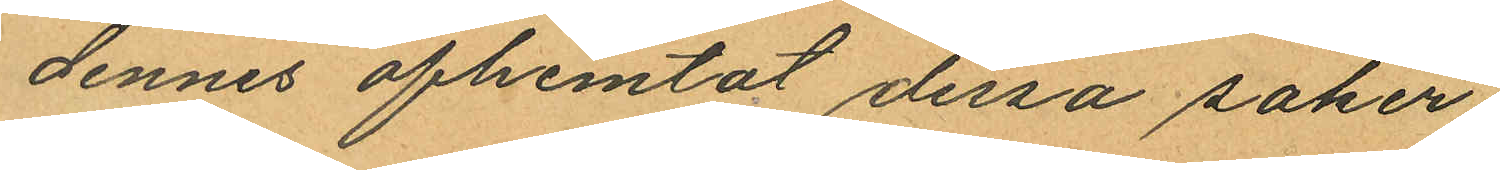dennes afhemtat dessa saker.
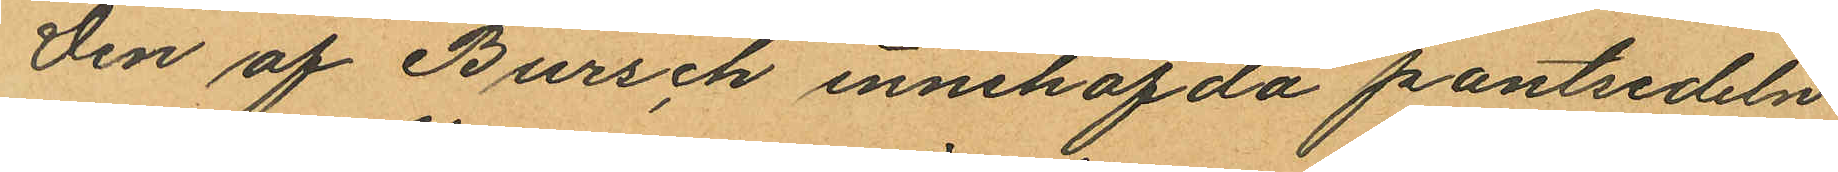Den af Bursch innehafda pantsedeln
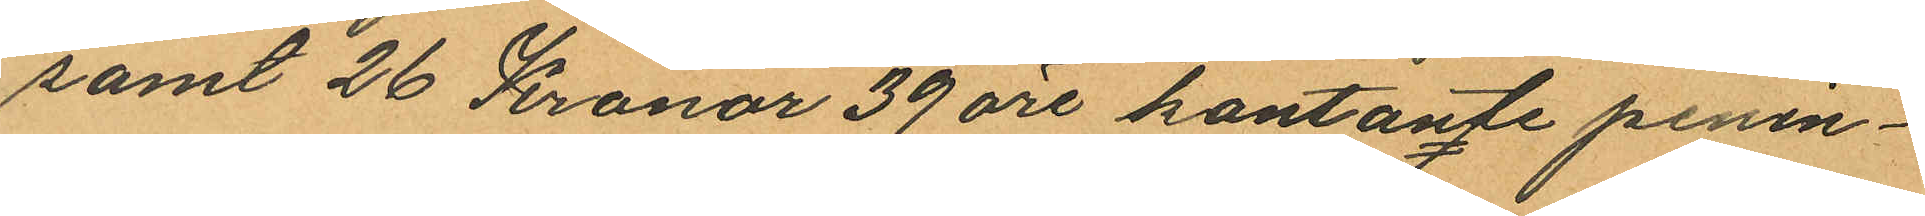samt 26 Kronor 39 öre kontante penin¬
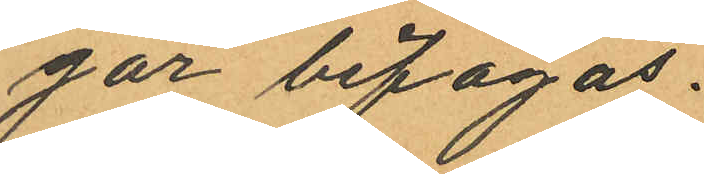gar bifogas.
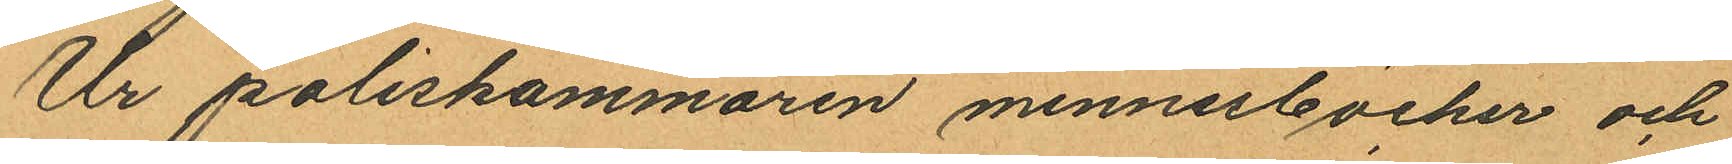Ur poliskammaren minnesböcker och
